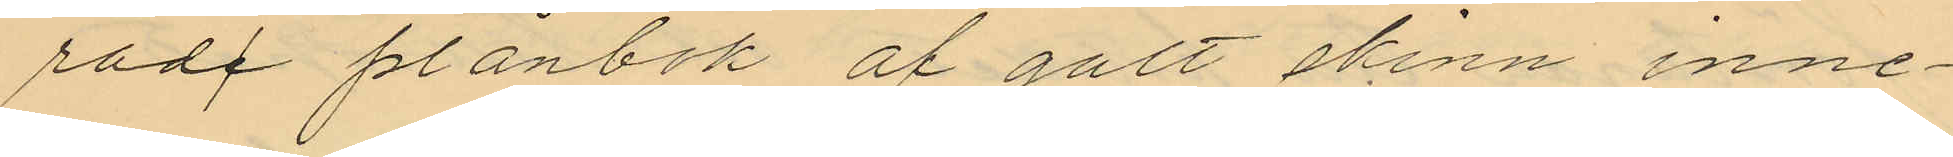rade plånbok af gult skinn inne¬
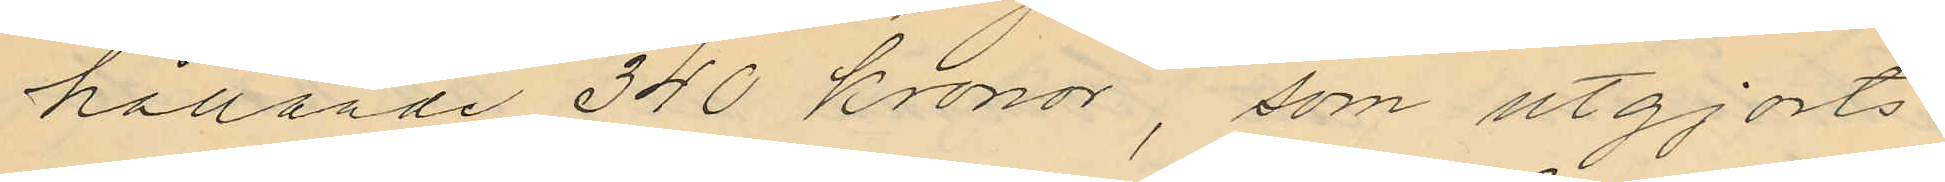hållande 340 Kronor, som utgjorts
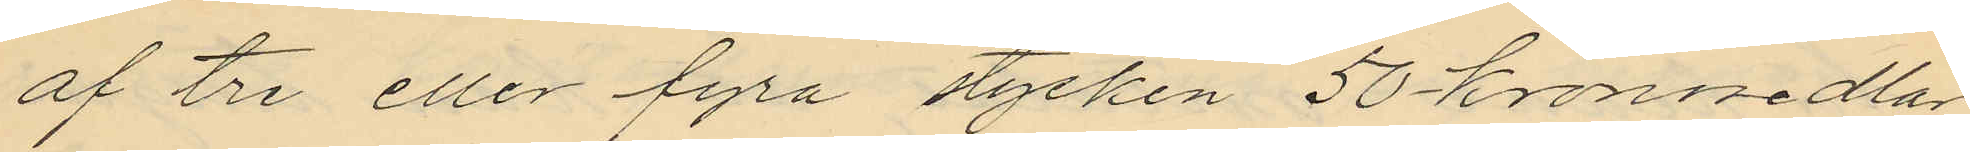af tre eller fyra stycken 50-kronosedlar
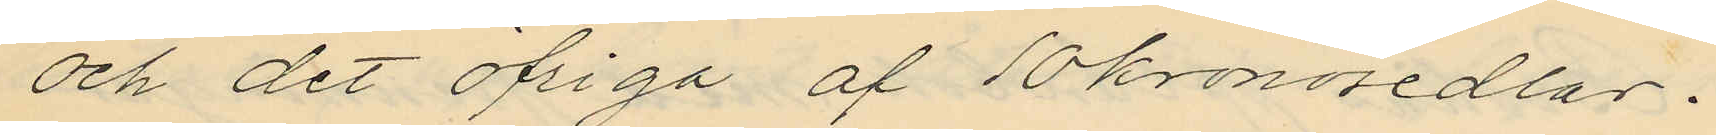och det öfriga af 10kronosedlar.
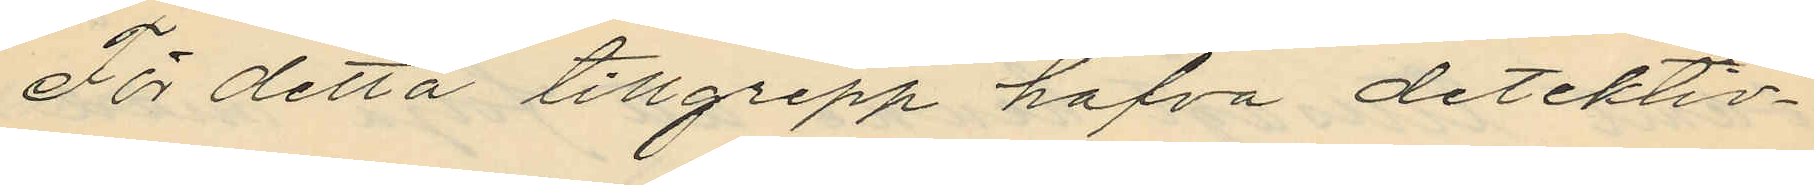För detta tillgrepp hafva detektiv¬
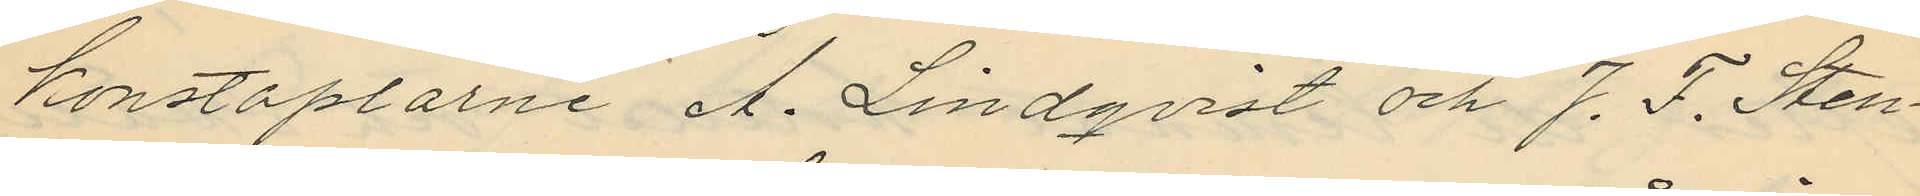konstaplarne A. Lindqvist och J. F. Sten¬
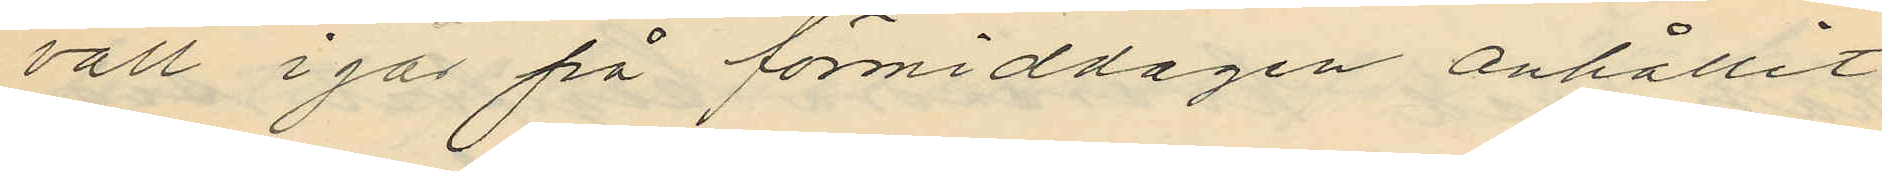vall i går på förmiddagen anhållit
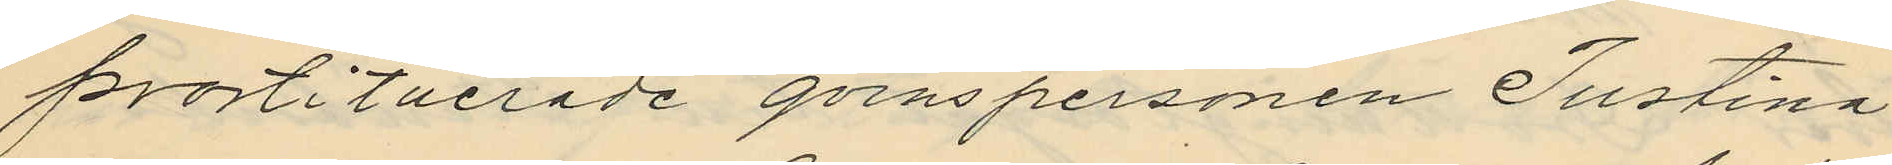prostituerade qvinspersonen Justina
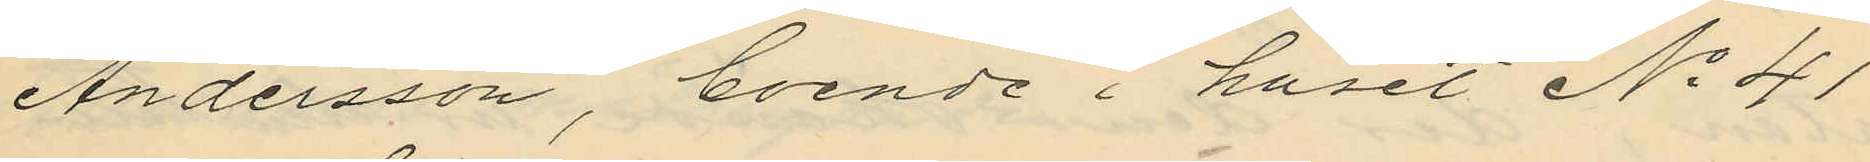Andersson, boende i huset No 41
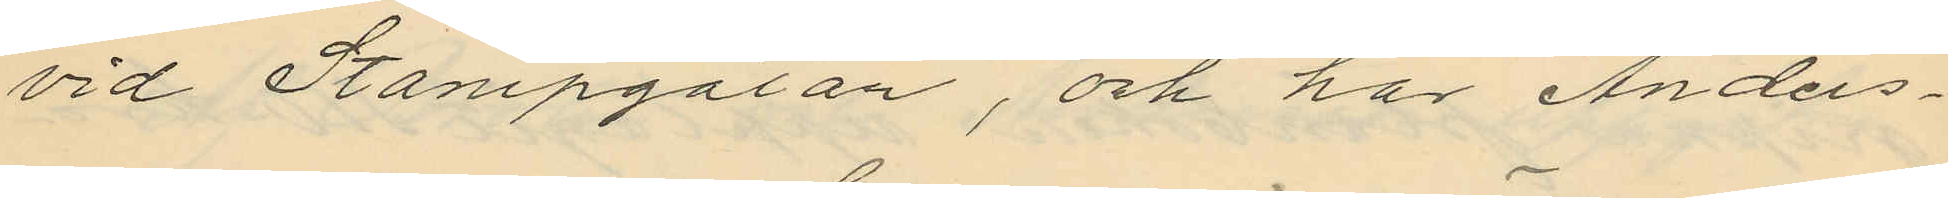vid Stampgatan, och har Anders¬
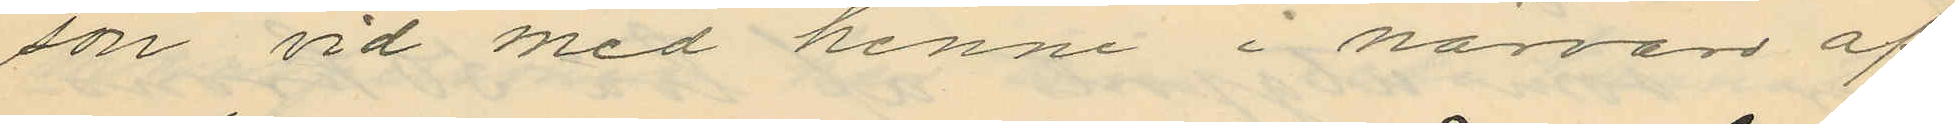son vid med henne i närvaro af
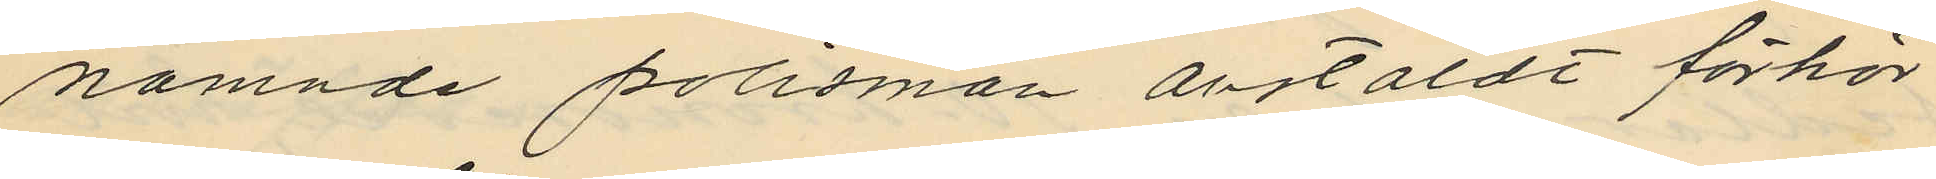nämnde polismän anstäldt förhör
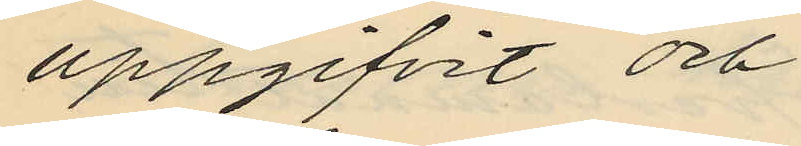uppgifvit och
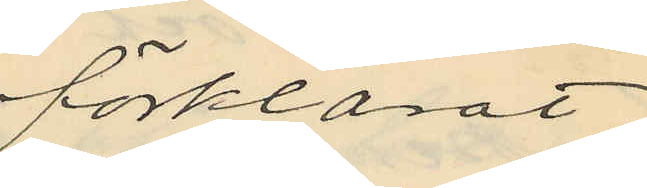förklarat,
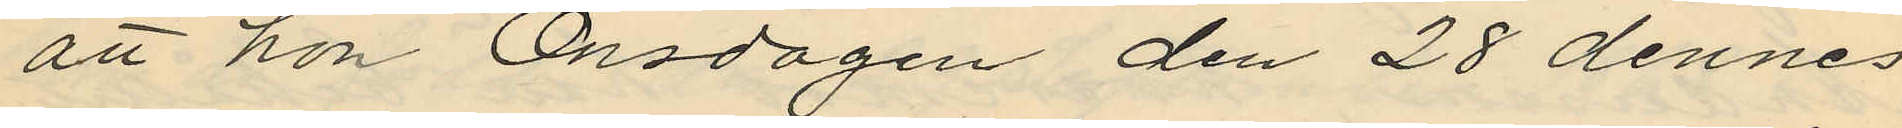att hon Onsdagen den 28 dennes
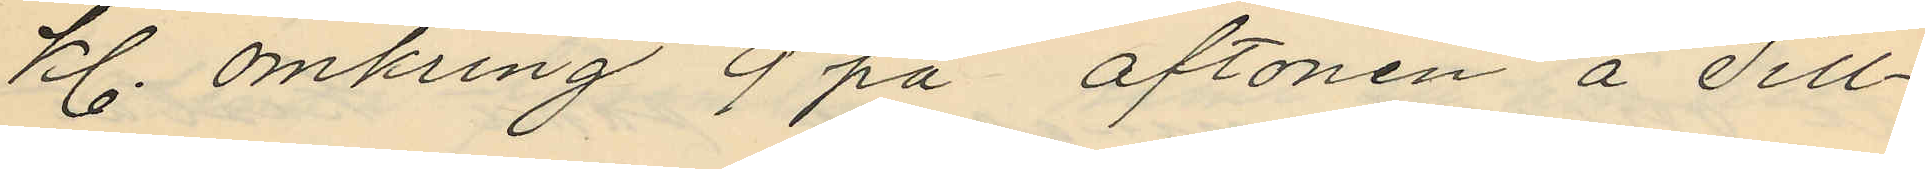kl. omkring 9 på aftonen å Sill¬
